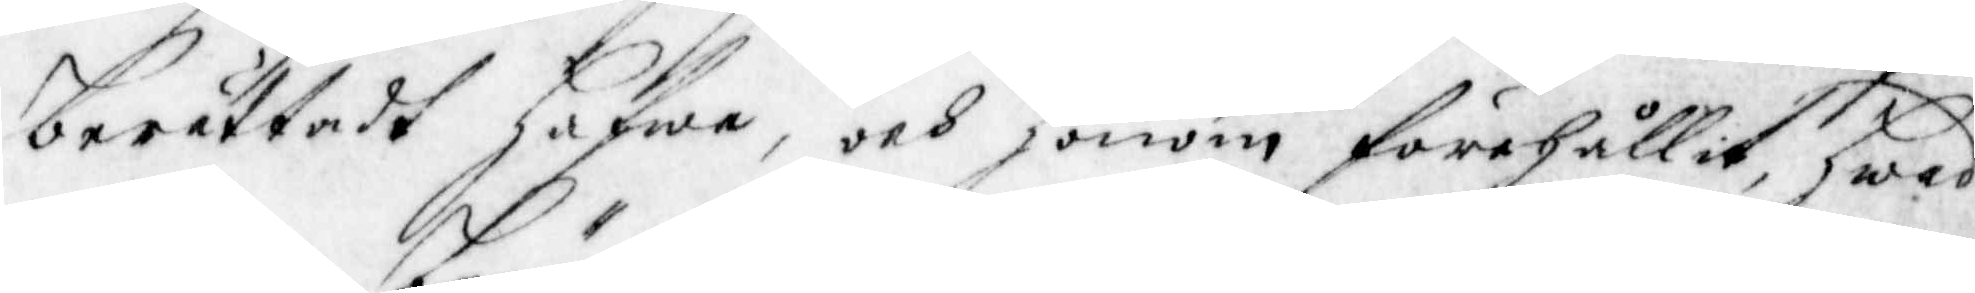berättadt hafwa, och honom förehållit, hwad
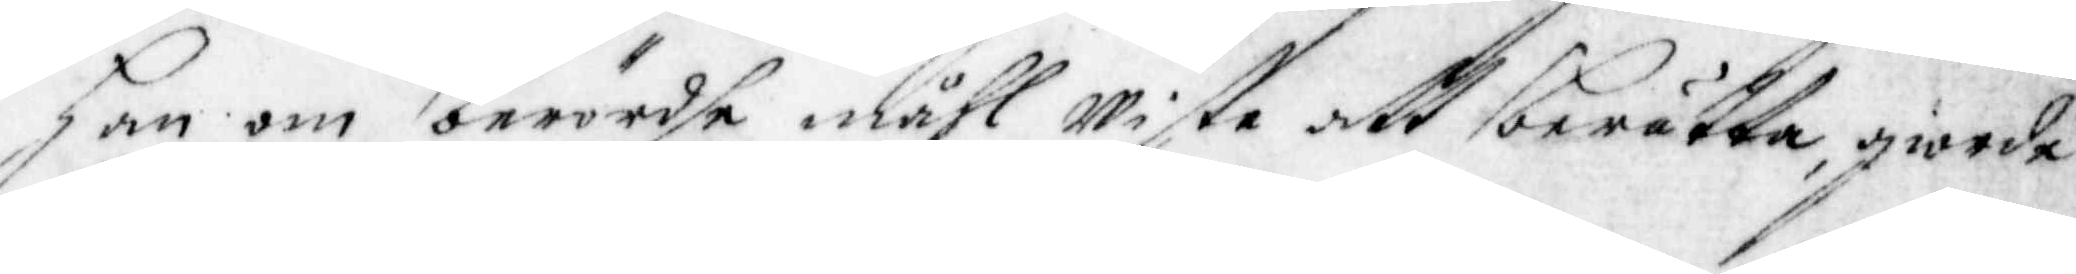han om berördhe måhl Wiste att berätta, giorde
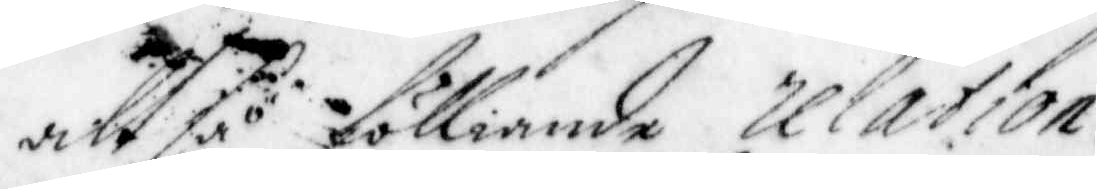alt så fölliande relation.
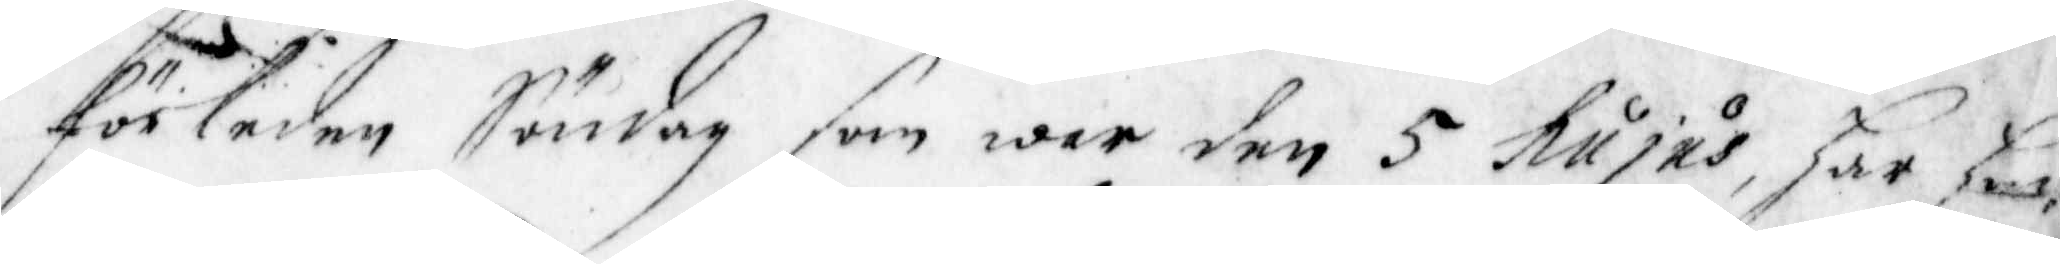Förleden söndag som war den 5 hujus, har han
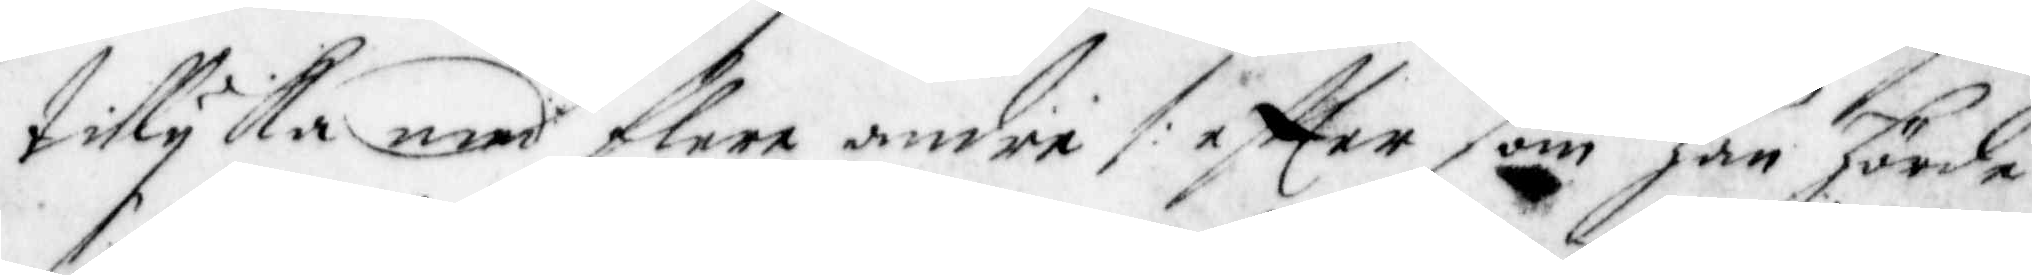tillyka med flere andre /: effter som han hörde
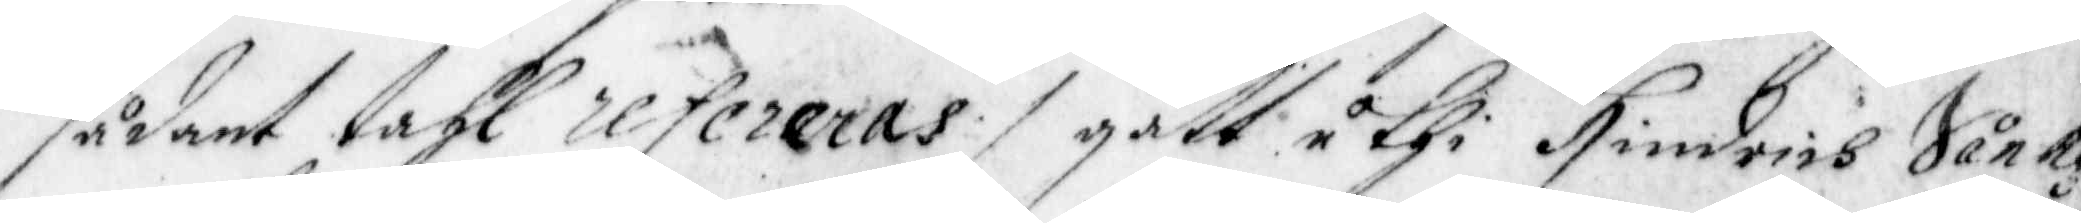sådant tahl refereras :/ gått uthi Hindrich Sånkg
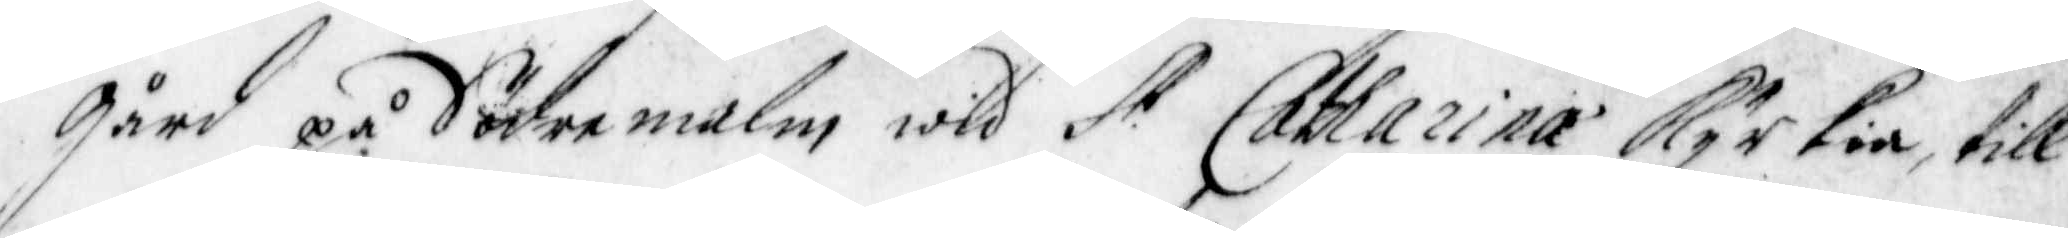gård på Södremalm wid St. Catharina Kyrkia, till
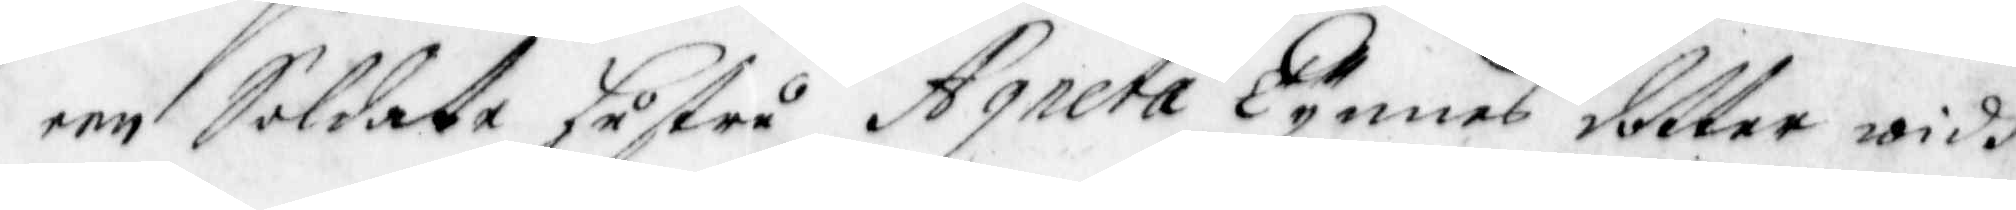een Soldate Hustru Agneta Tynnes dotter widh
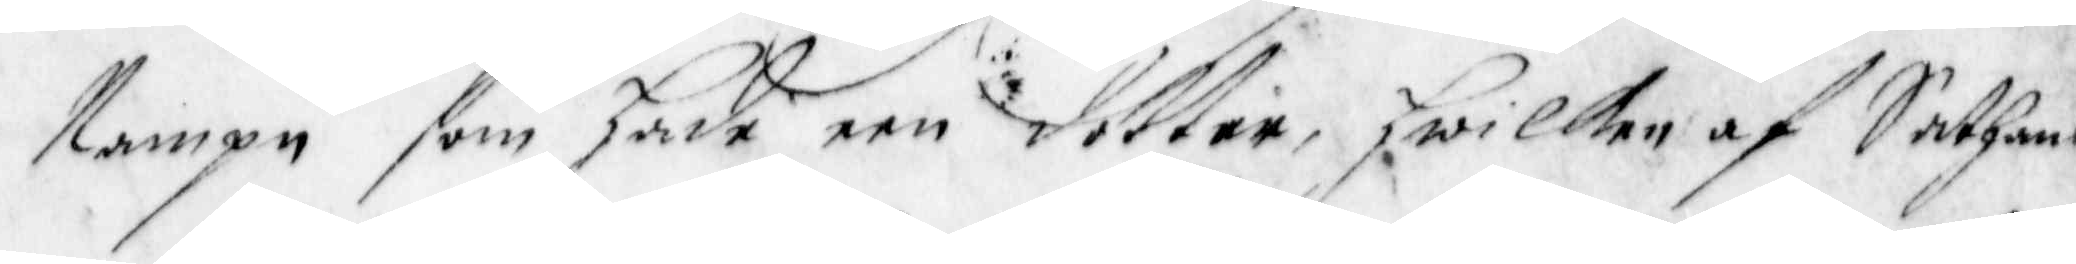Nampn som hade een dotter, Hwilken af Sathans
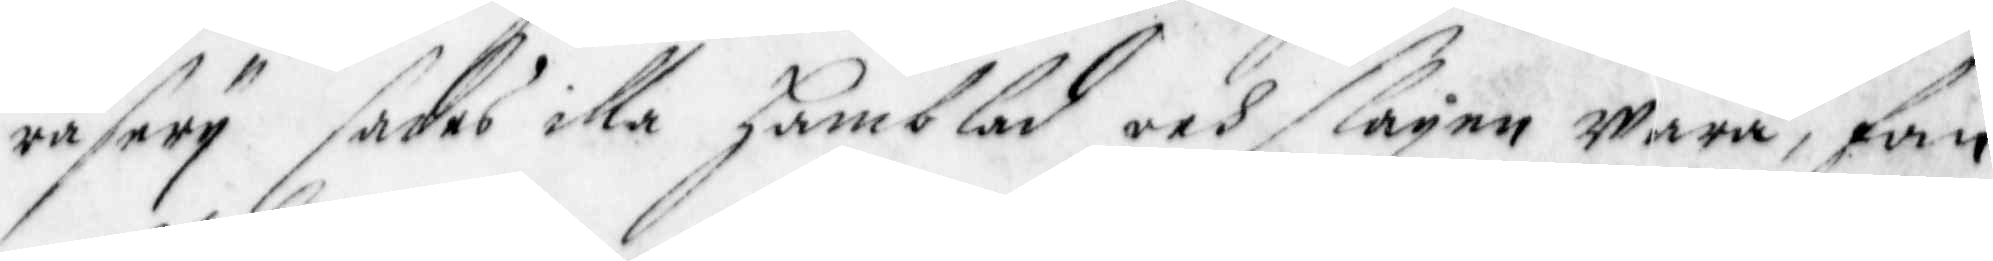rasery sades illa Hamblad och slagen wara, fan
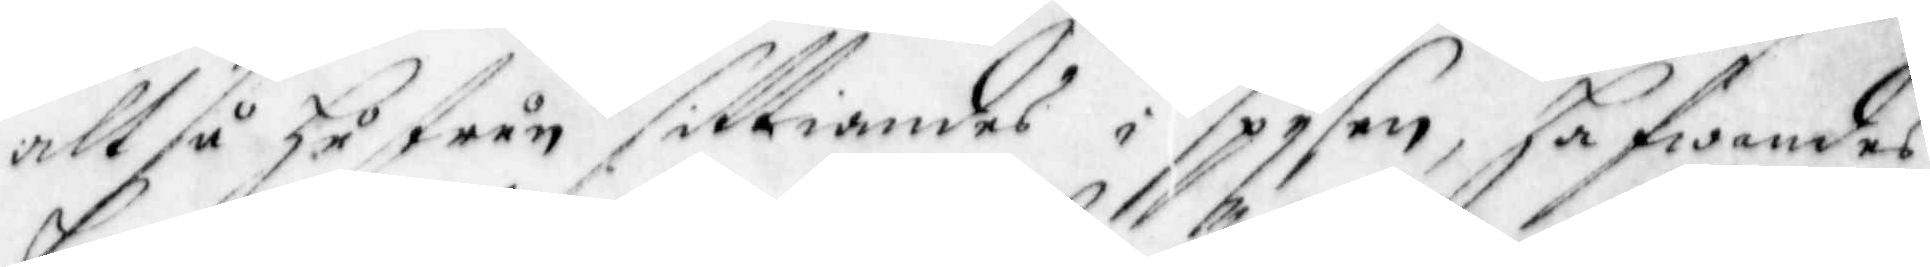altså Hustrun sittiandes i Spysen, Hafwandes
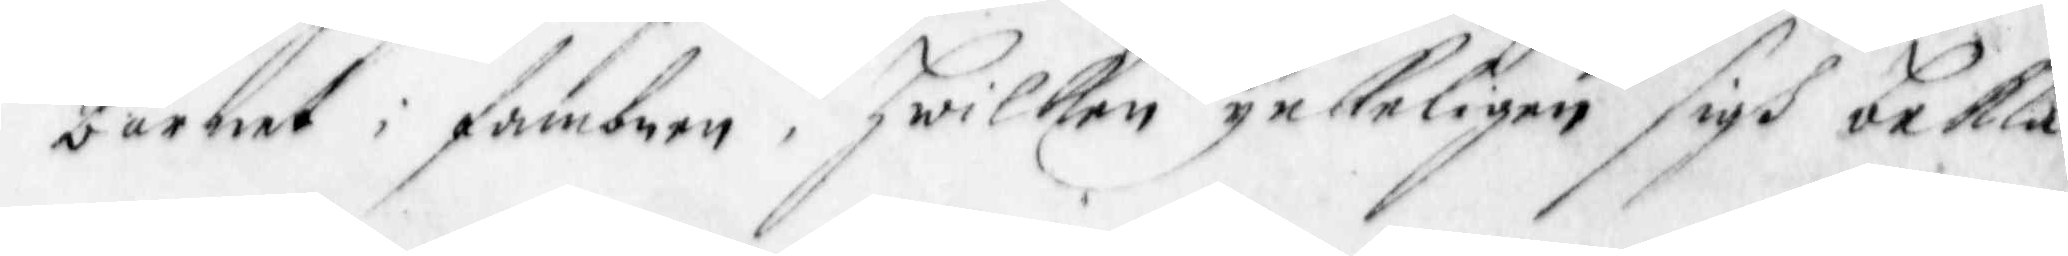barnet i fambnen, Hwilken ynkeligen sigh bekla¬
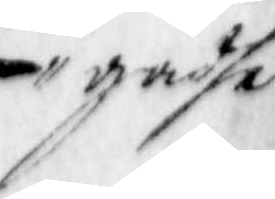gadhe
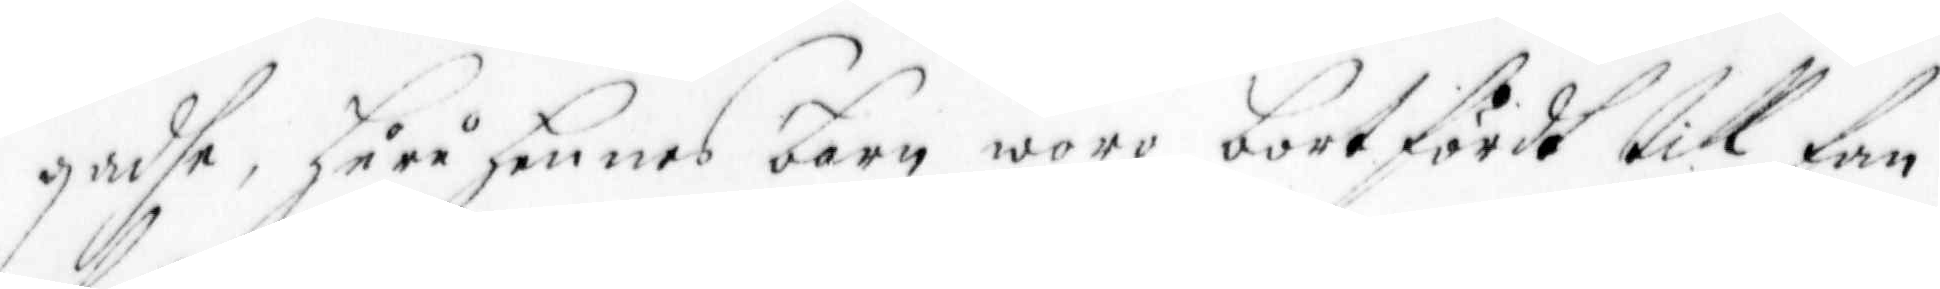gadhe, Huru Hennes barn woro bortfördt till fan¬
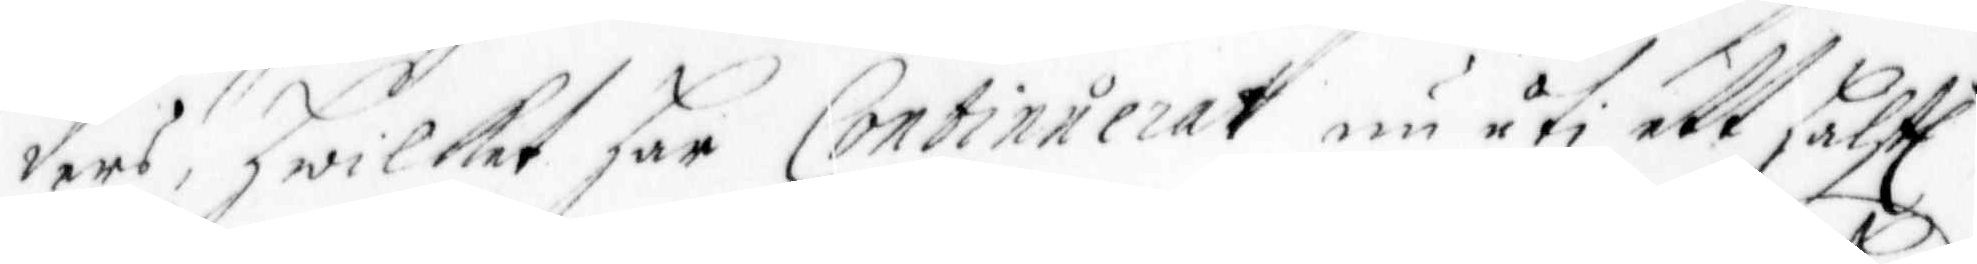ders, hwilket har Continuerat nu uti ett halft
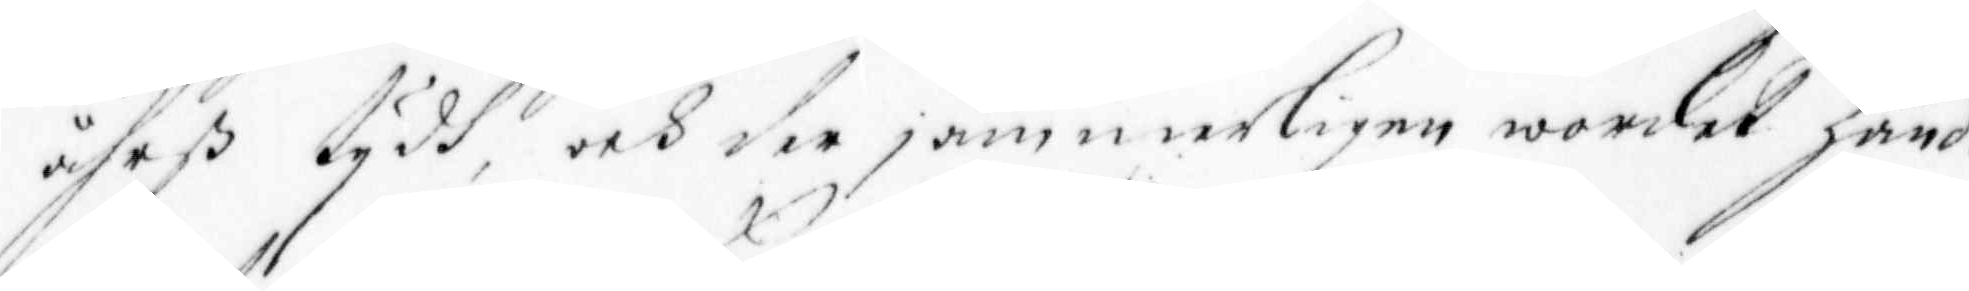åhrß tydh, och dr jämmerligen wordet hand:¬
